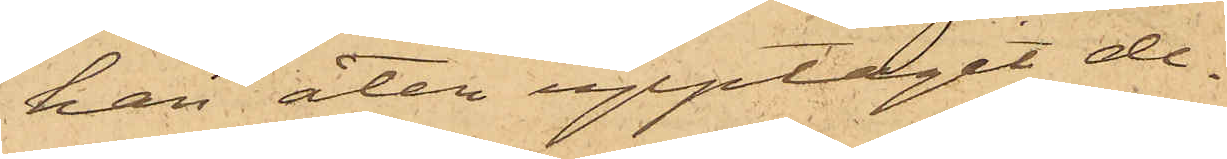han åter upptagit de¬
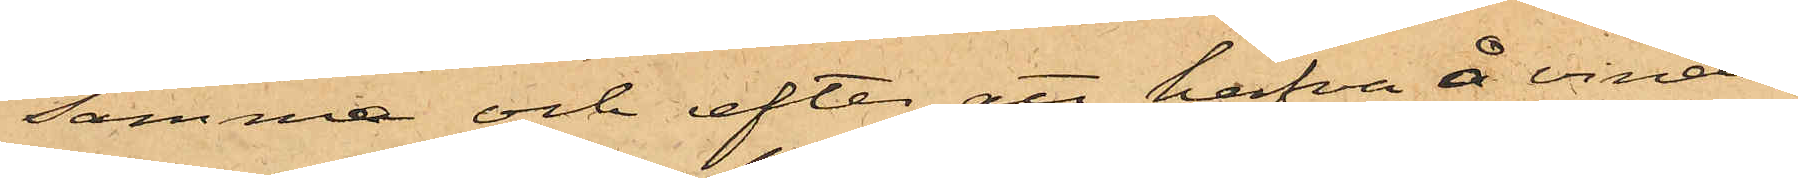samma och efter att hafva å vinden
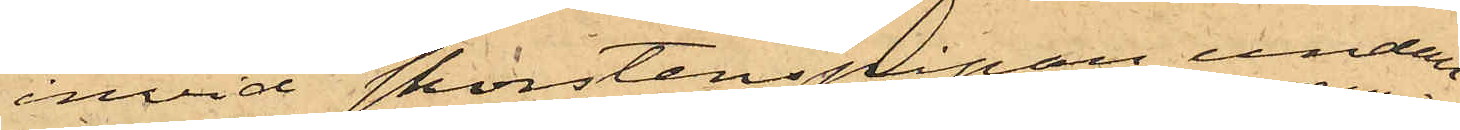invid skorstenspipan undan¬
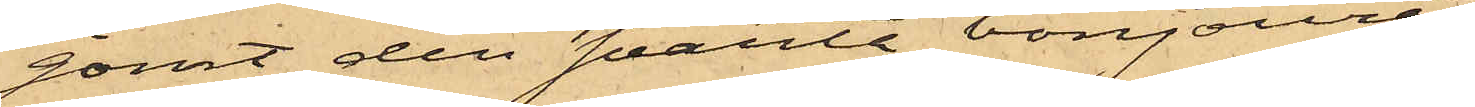gömt den svarta bonjouren
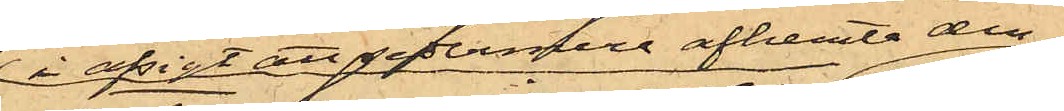i afsigt att sedermera afhemta den
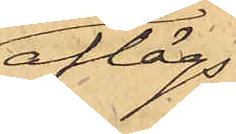aflägs¬
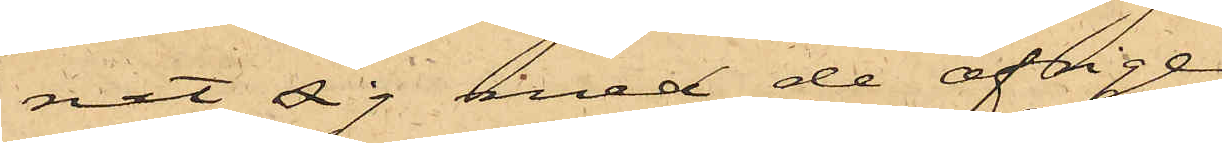nat sig med de öfrige,
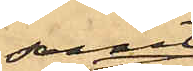samt
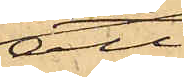att
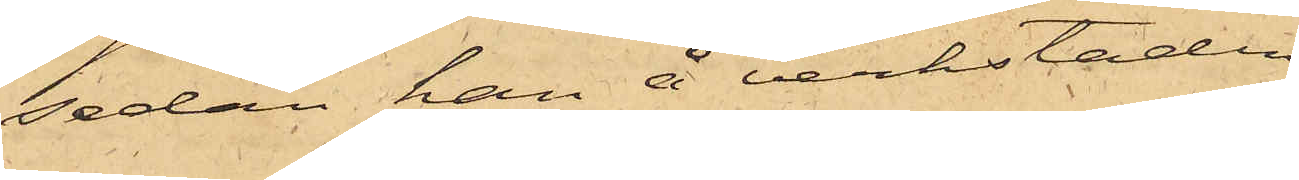sedan han å verkstaden,
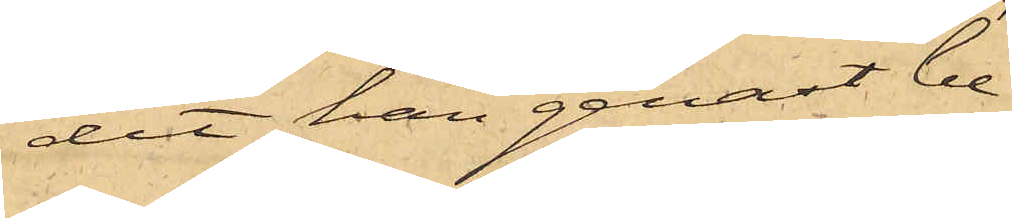dit han genast be¬
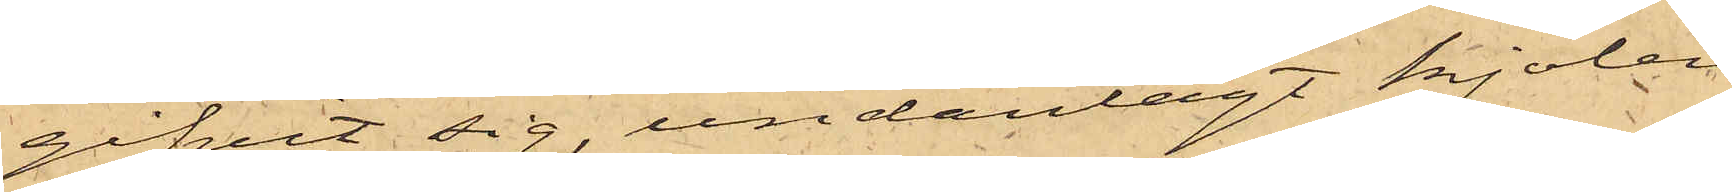gifvit sig, undanlagt kjolen
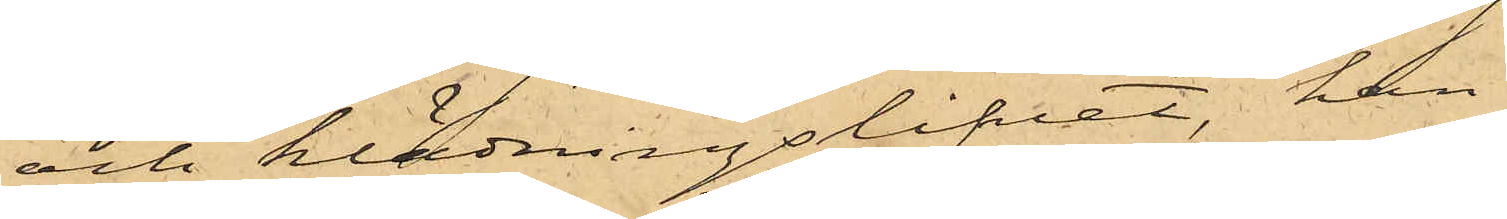och klädningslifvet, han
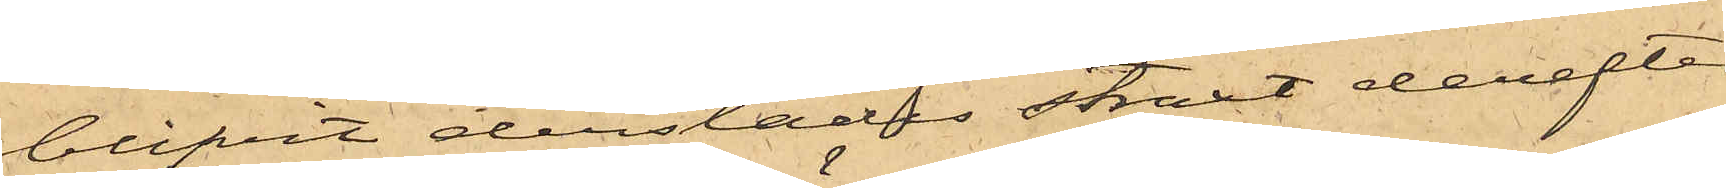blifvit derstädes straxt derefter
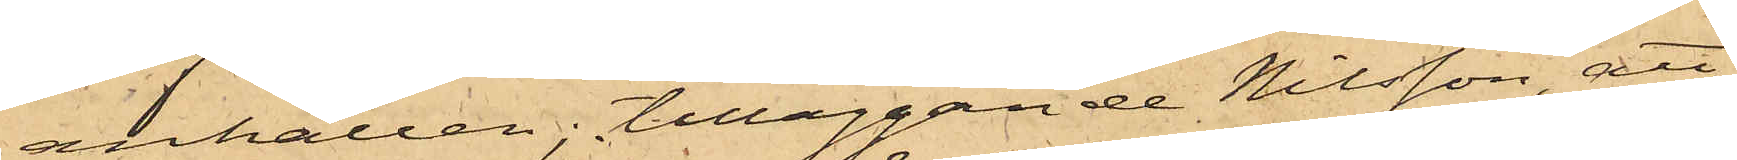anhållen; tilläggande Nilsson, att
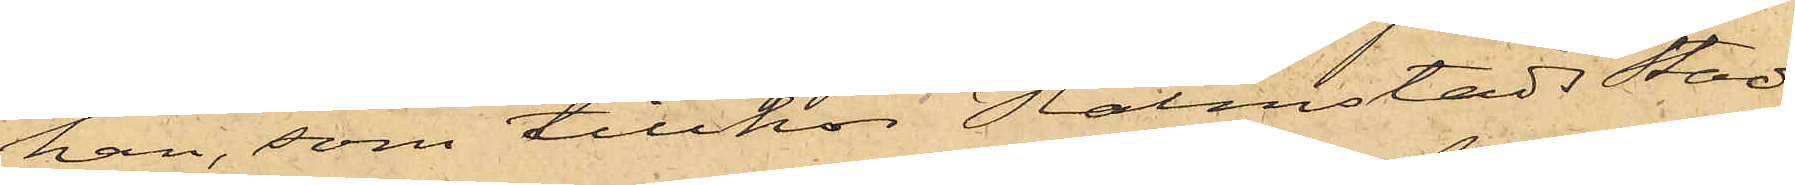han, som tillhör Halmstads Stads
